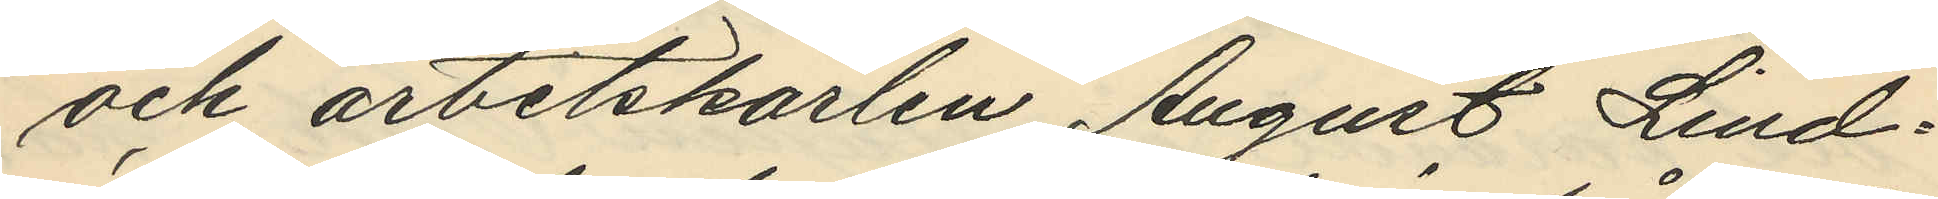och arbetskarlen August Lind¬
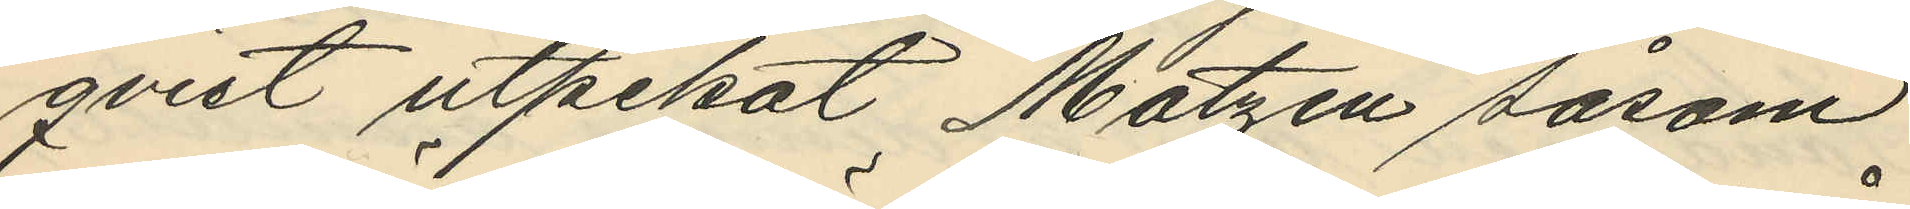qvist utpekat Matzén såsom
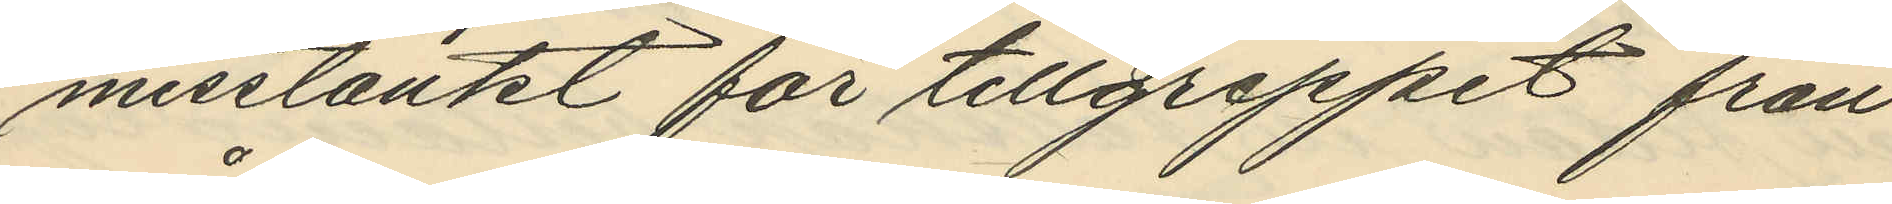misstänkt för tillgreppet från
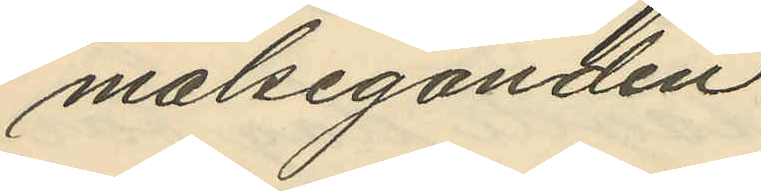målseganden.
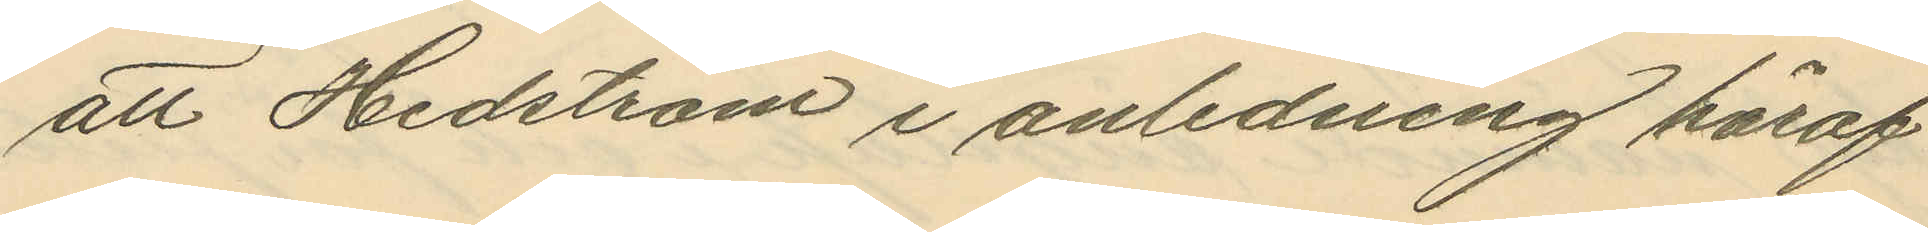att Hedström i anledning häraf
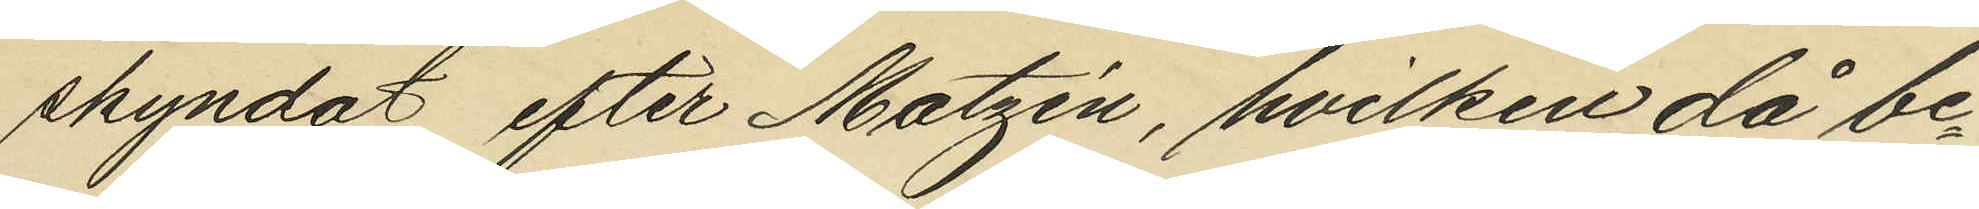skyndat efter Matzén, hvilken då be¬
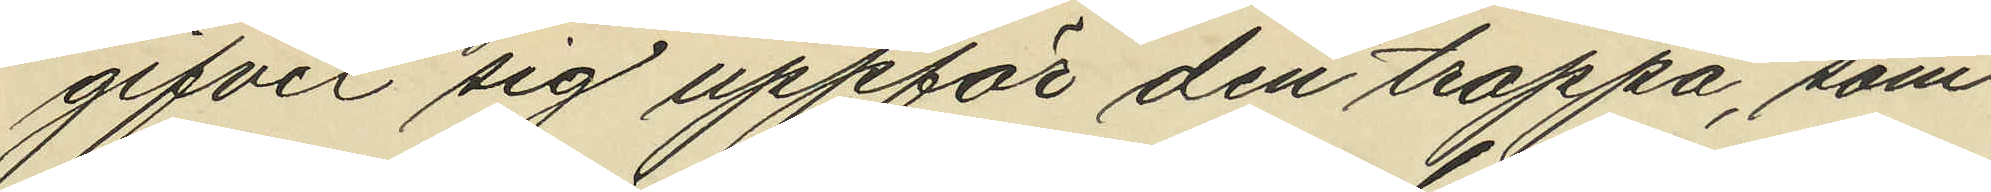gifvit sig uppför den trappa, som
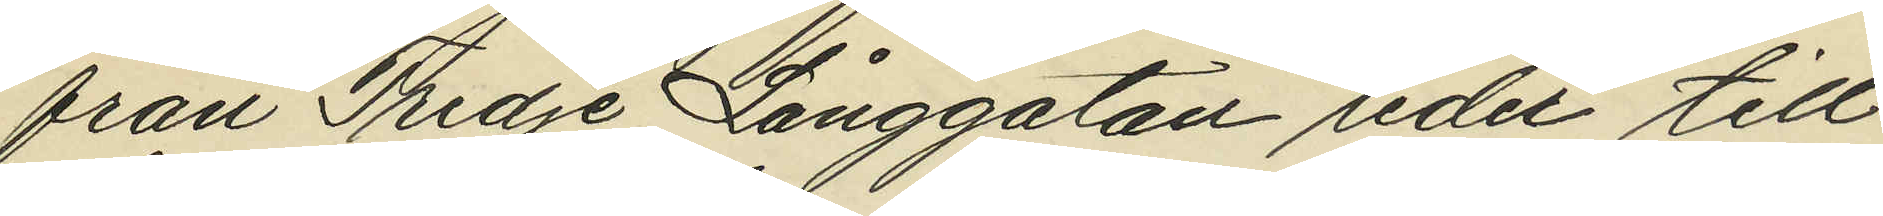från Tredje Långgatan leder till
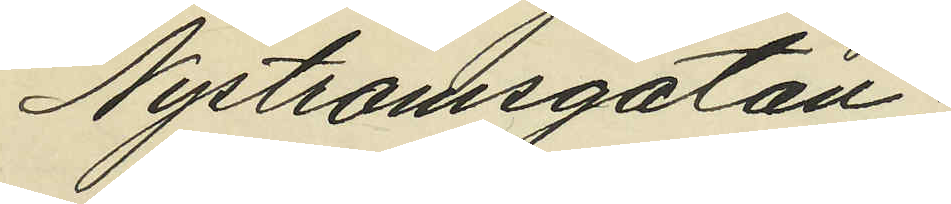Nyströmsgatan;
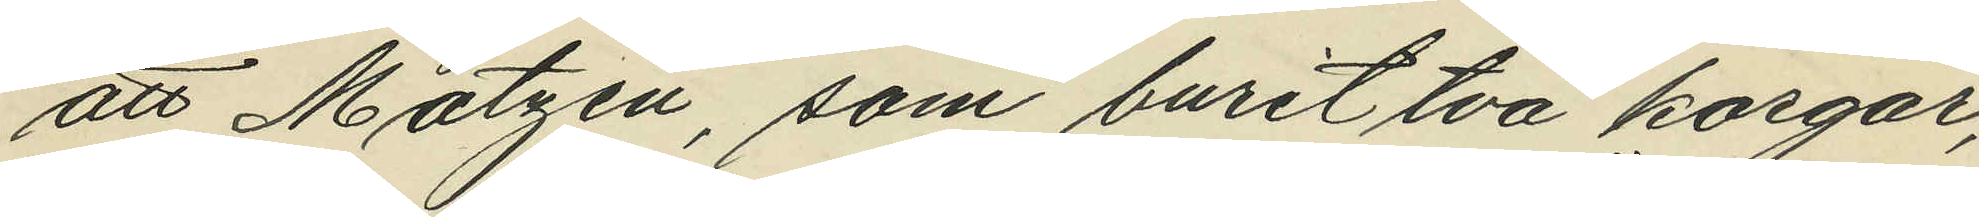att Matzén, som burit två korgar,
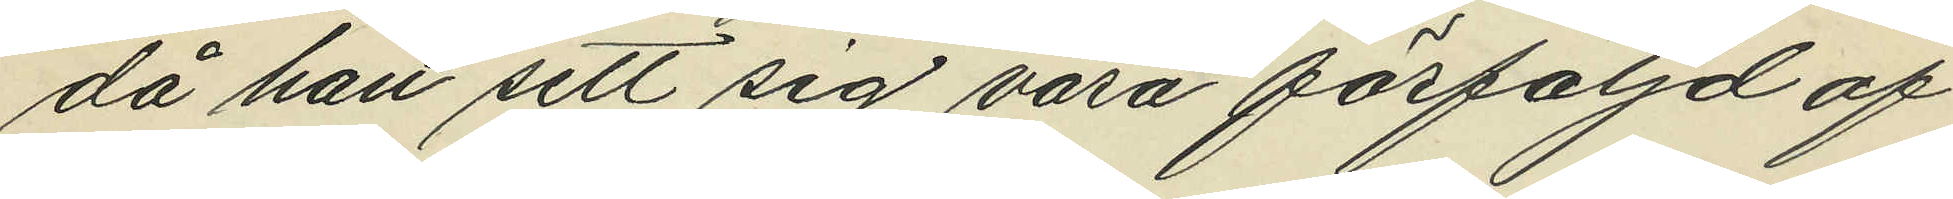då han sett sig vara förföljd af
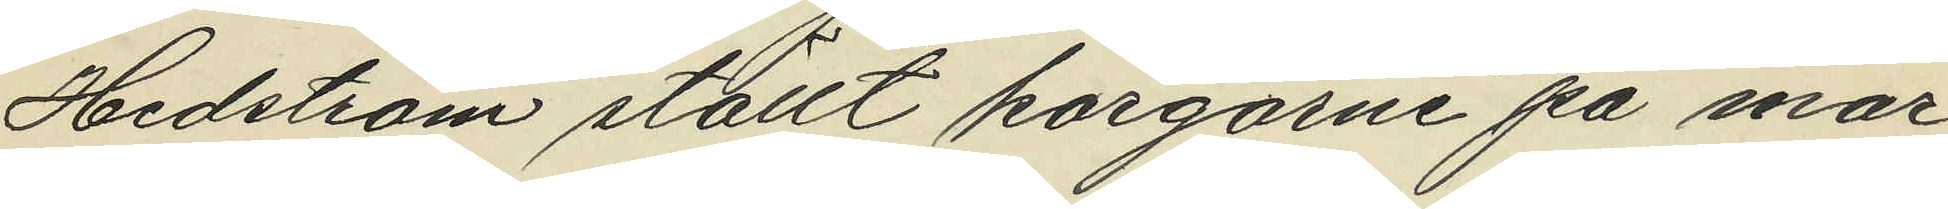Hedström ställt korgarne på mar¬
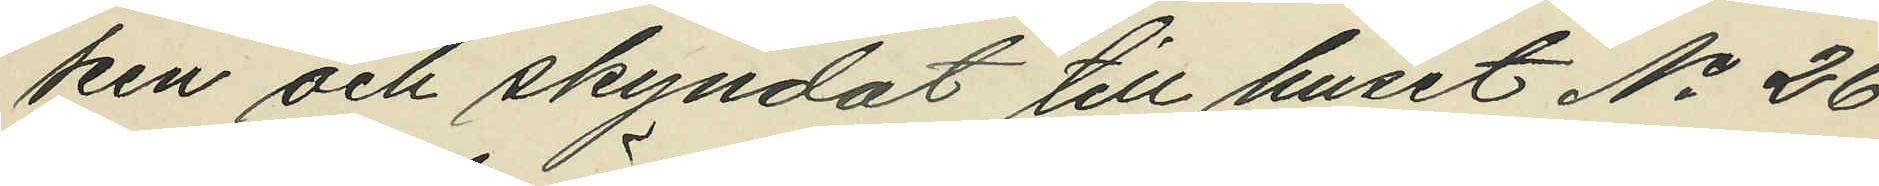ken och skyndat till huset No 26
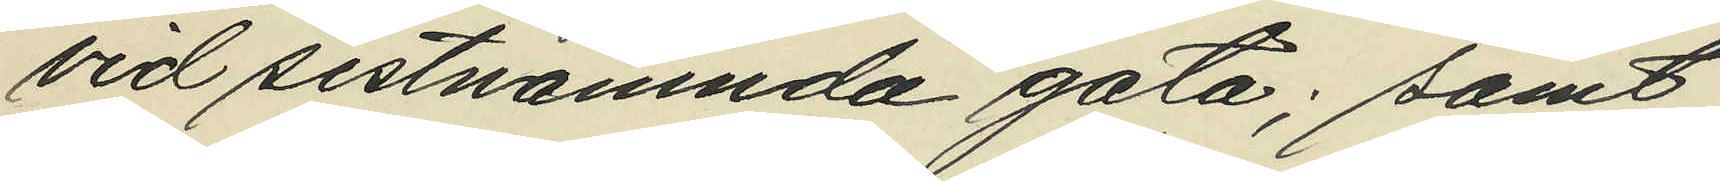vid sistnämnda gata; samt
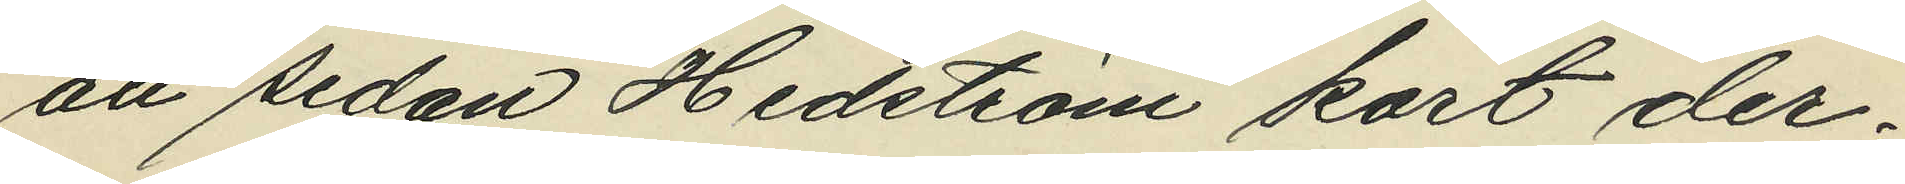att sedan Hedström kort der¬
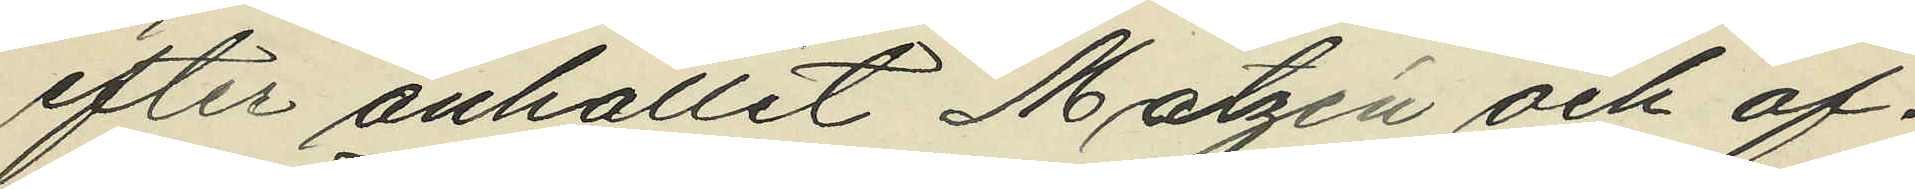efter anhållit Matzén och of¬
